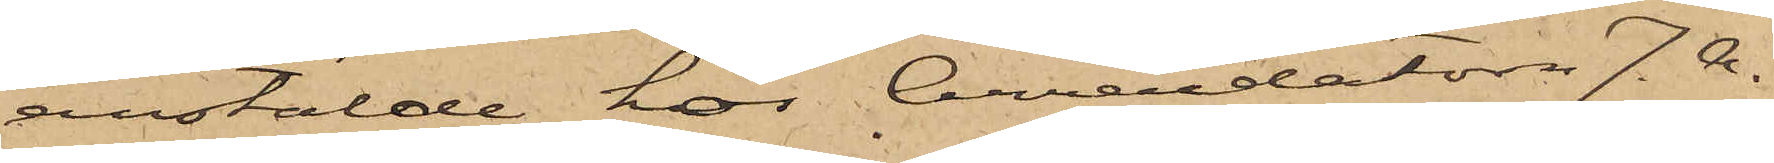anstälde hos Arredatorn J. A.
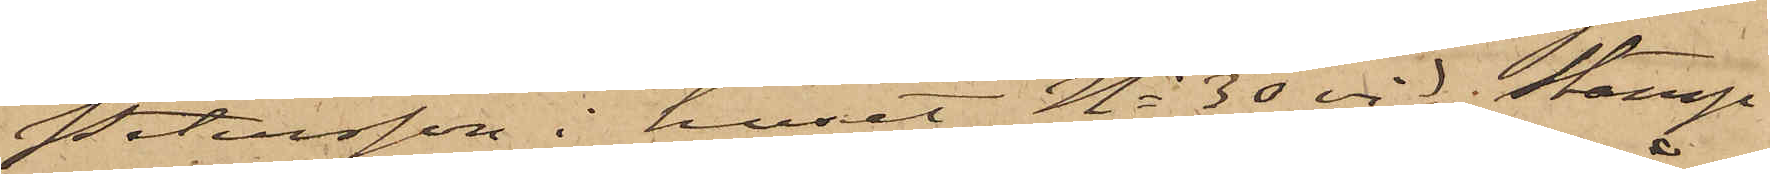Petersson i huset No 30 vid Stamp¬
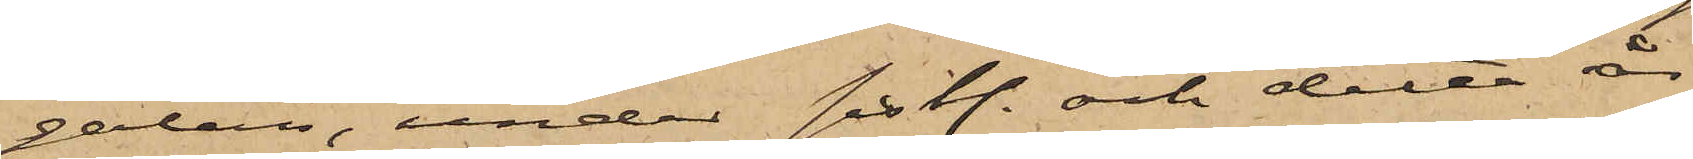gatan, under sistl. och detta år
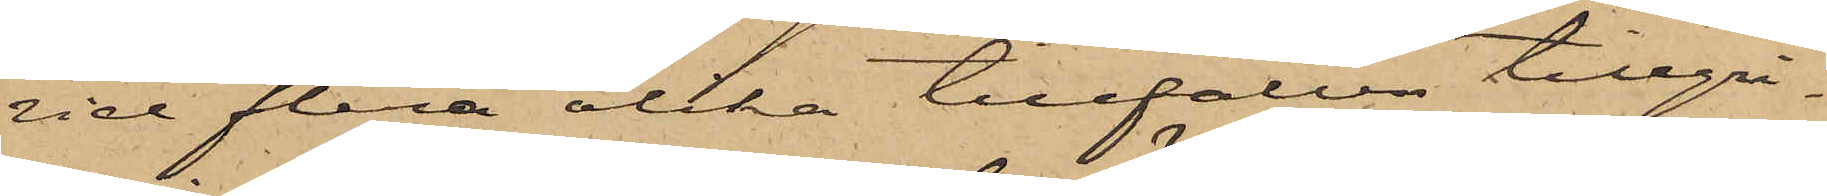vid flera olika tillfällen tillgri¬
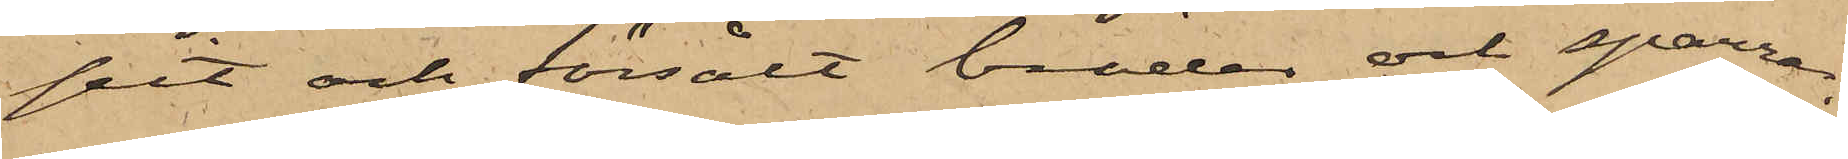pit och försålt bräder och sparrar,
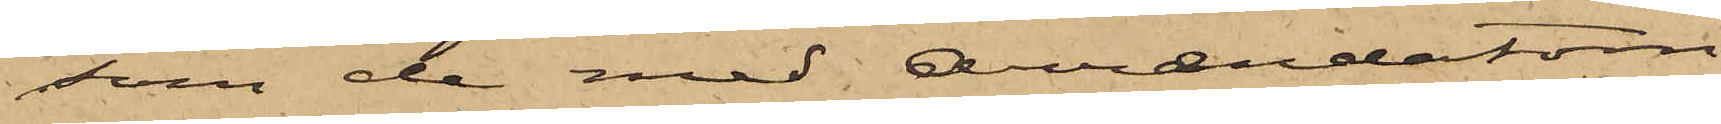som de med Arrendatorn
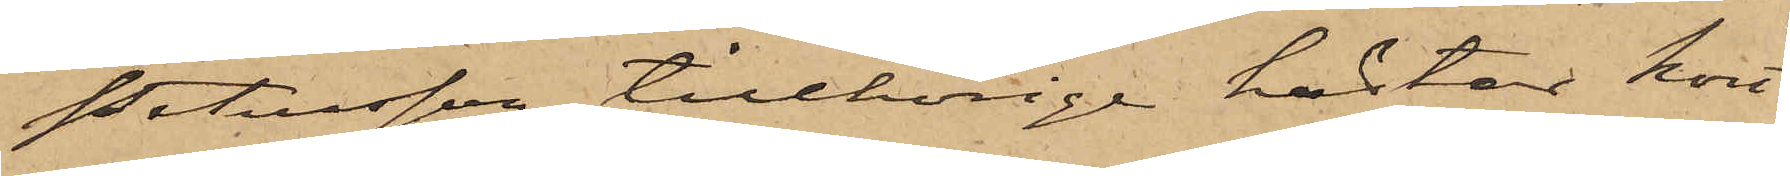Petersson tillhörige hästar kört
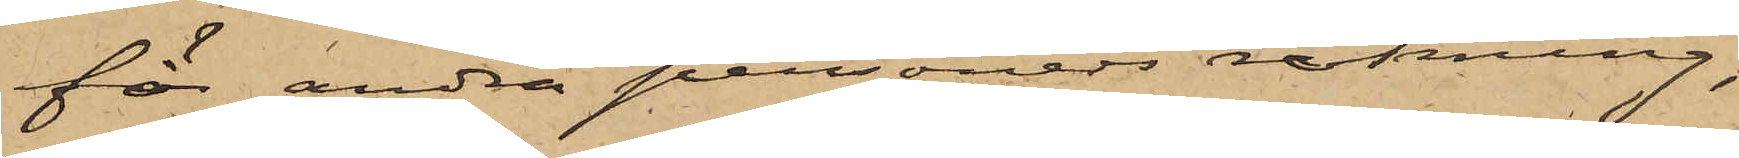för andra personers räkning;
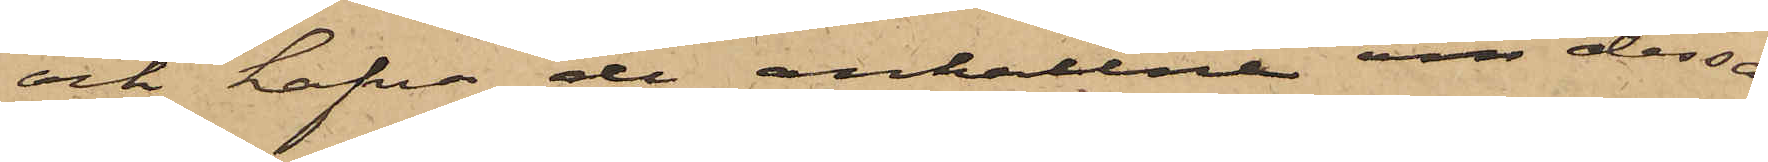och hafva de anhållne om dessa
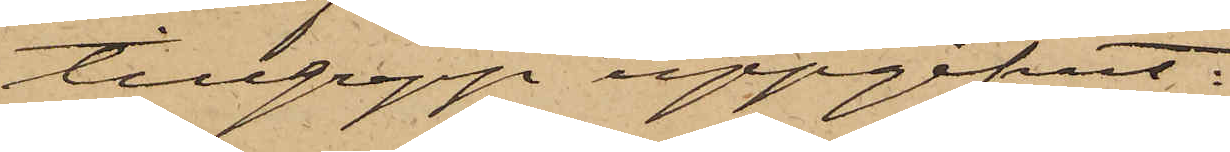tillgrepp uppgifvit:
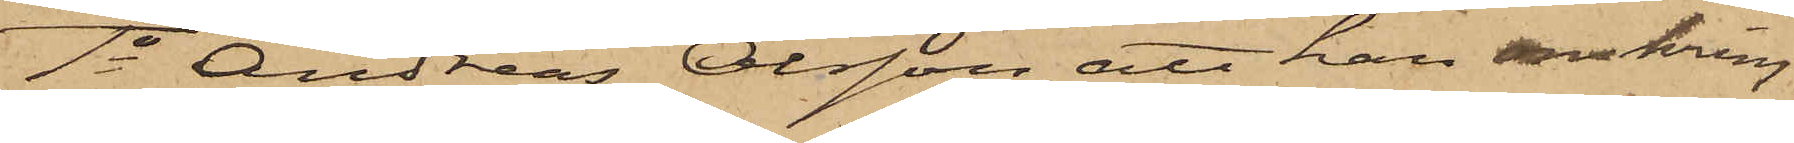1o Andreas Olsson, att han omkring
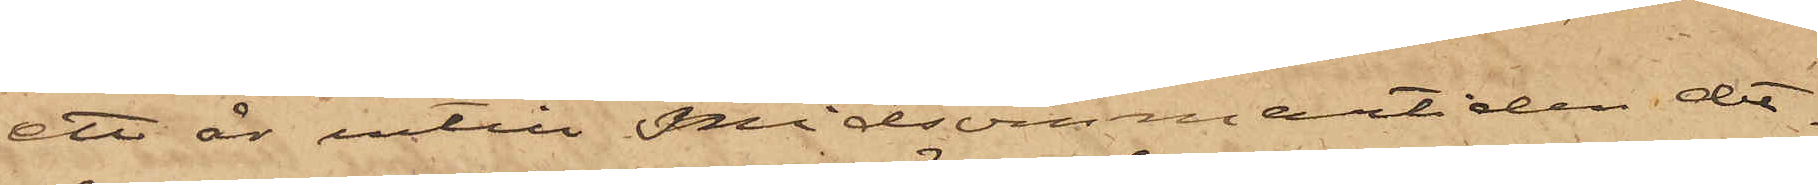ett år intill Midsommartiden det¬
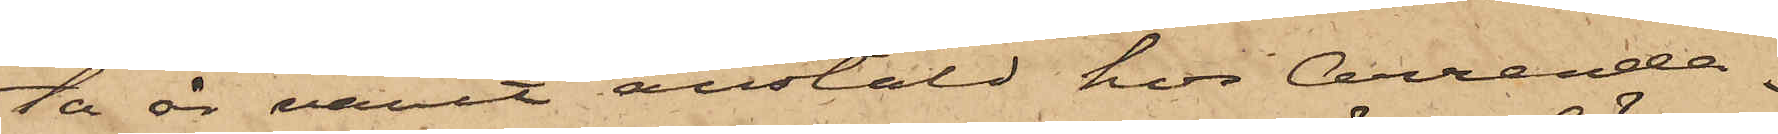ta år varit anstäld hos Arrenda¬
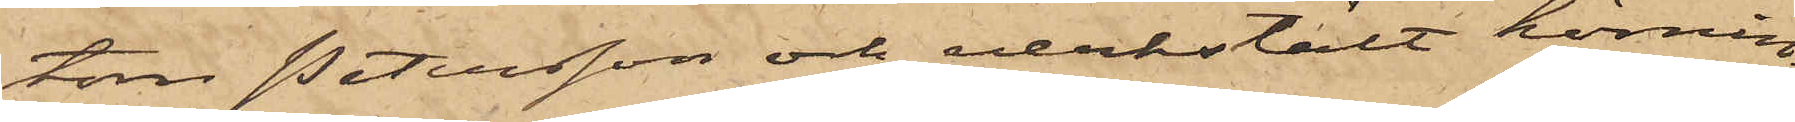torn Petersson och verkstält körnin¬
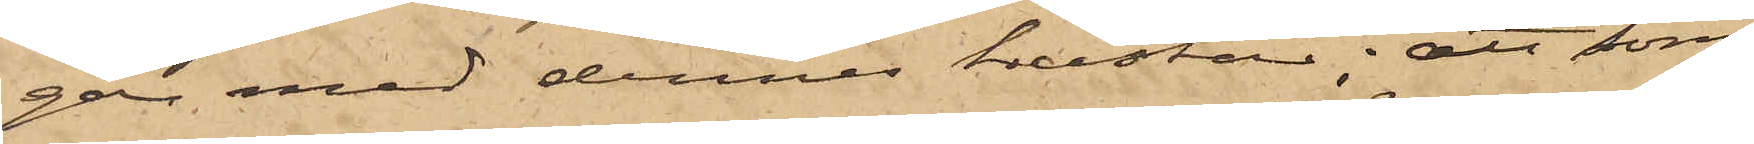gar med dennes hästar; att Som¬
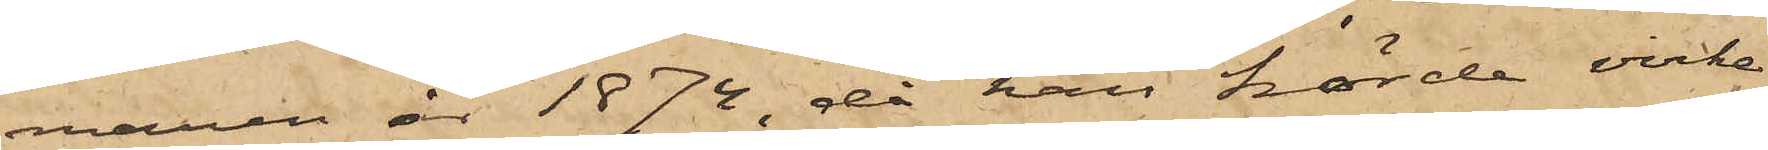maren år 1874, då han körde virke
